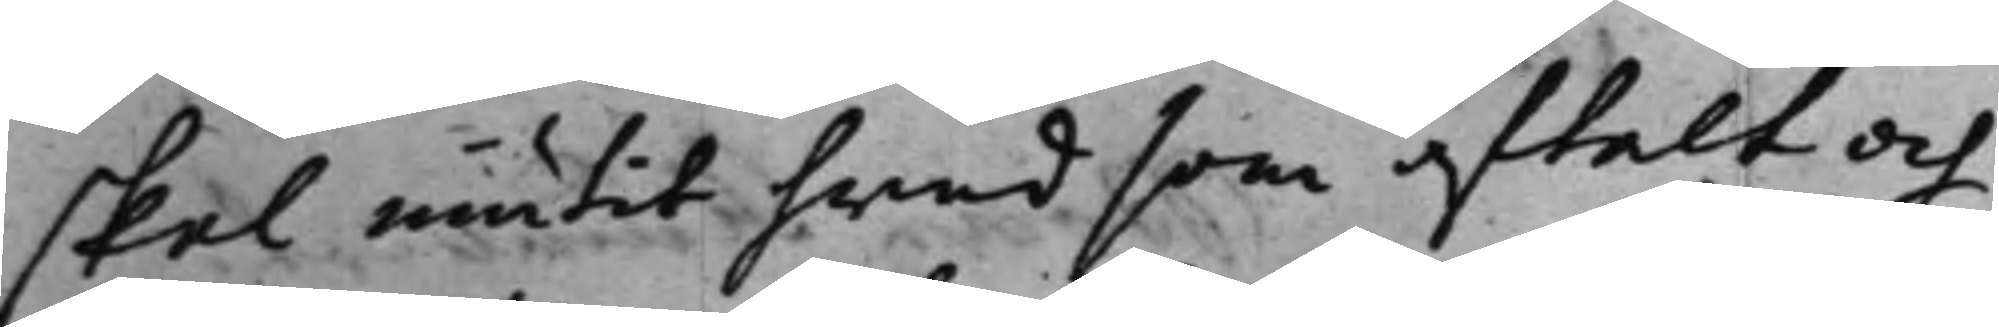skal niutit hwad som aftalt och
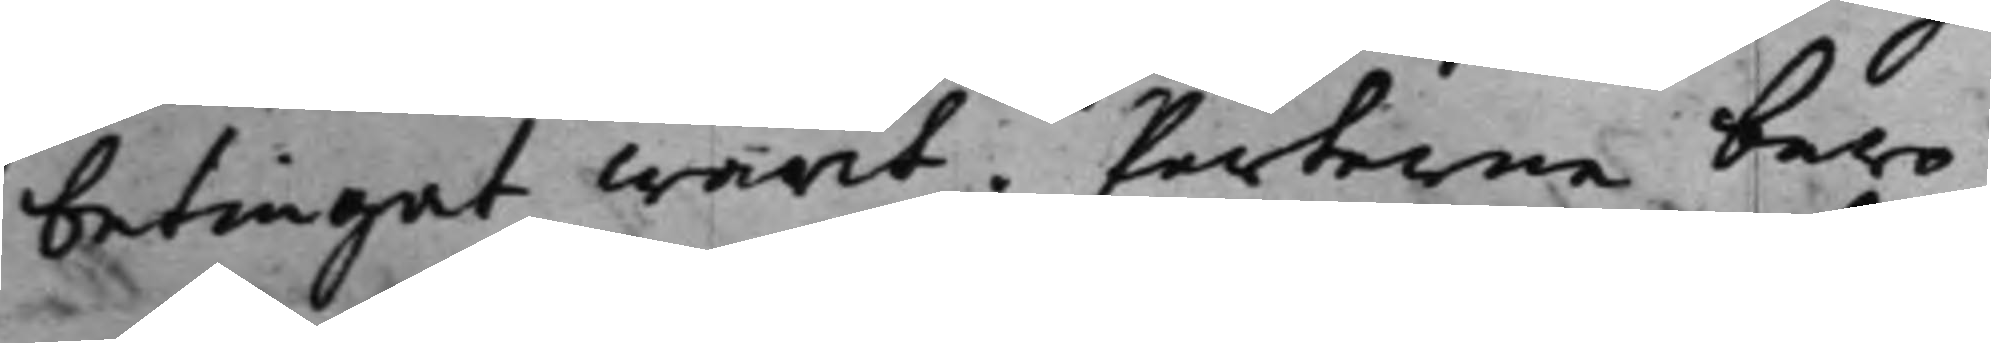betinget warit. Parterne bero¬
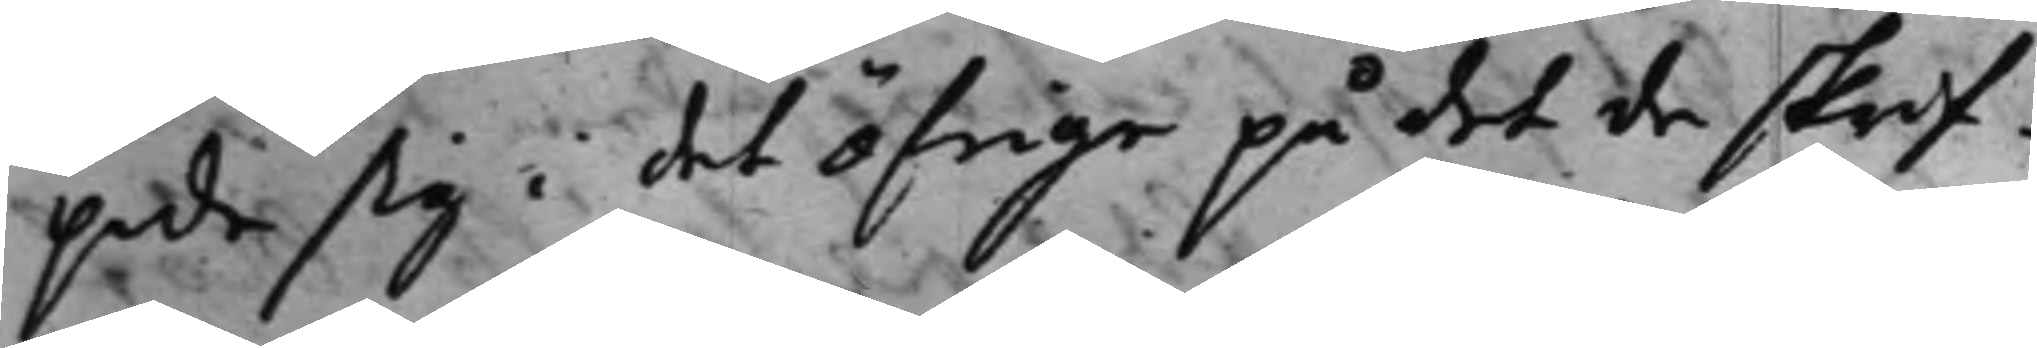pade sig i det öfrige på det de skrif¬
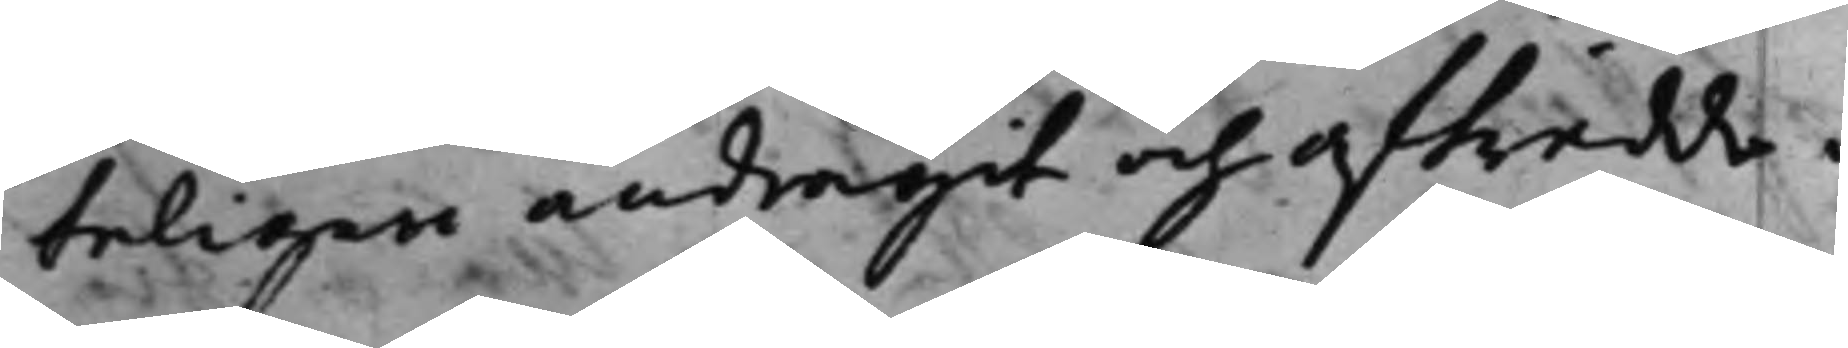teligen andragit och afträdde.
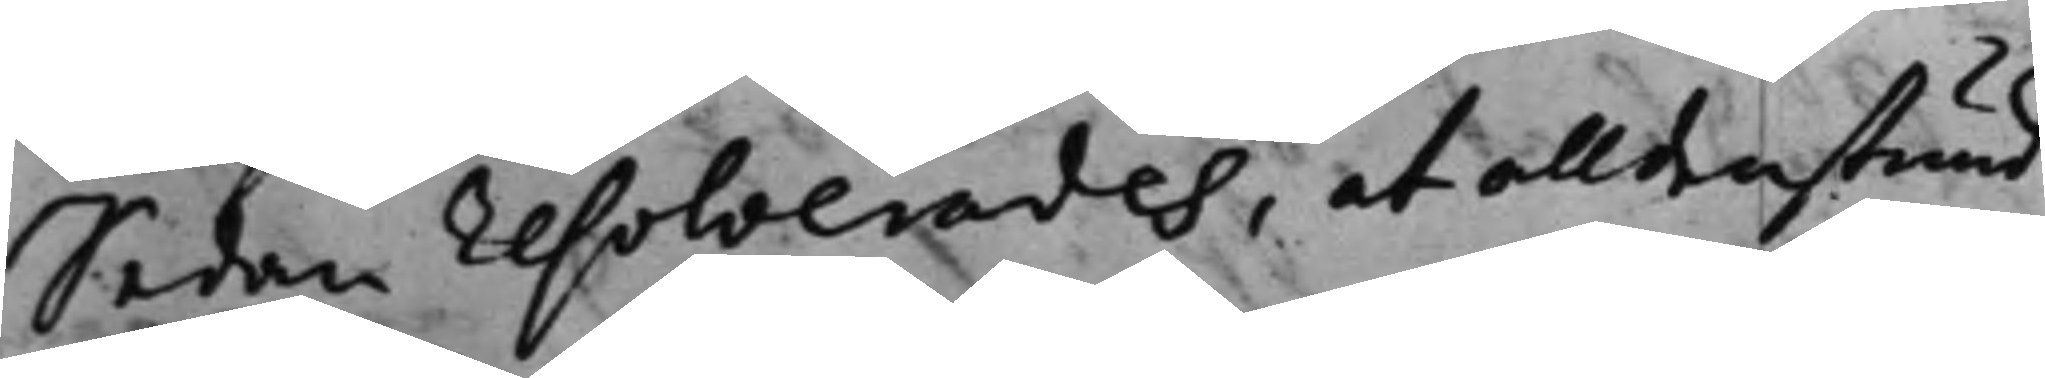Sedan resolverades, at alldenstund
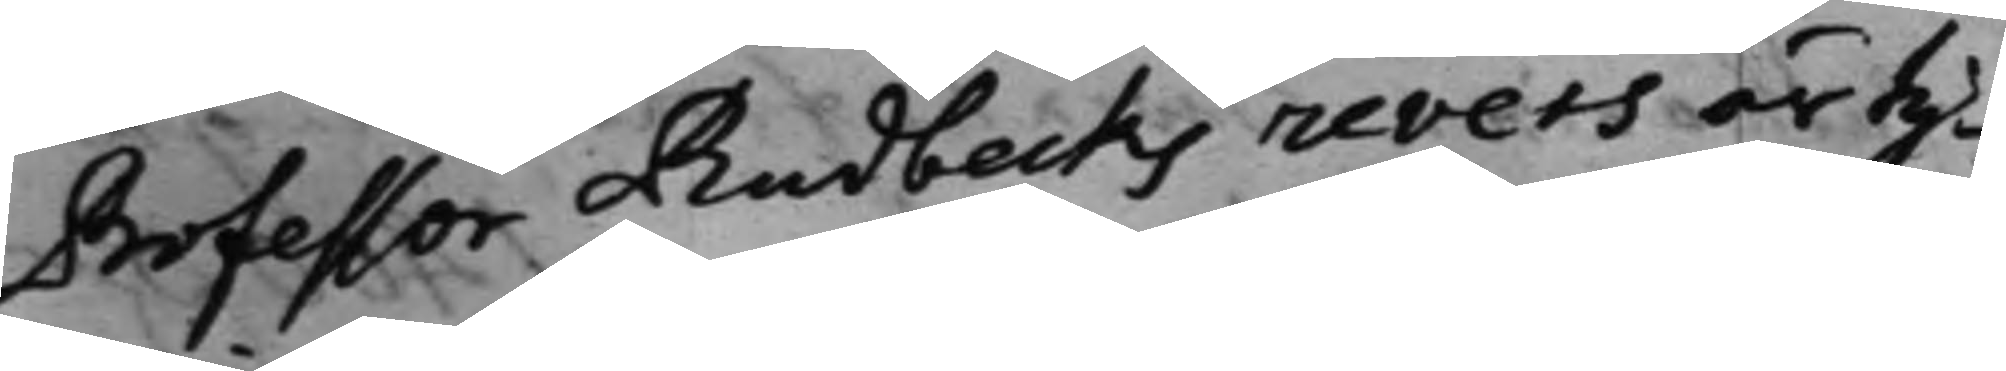Professor Rudbecks revers är ty¬
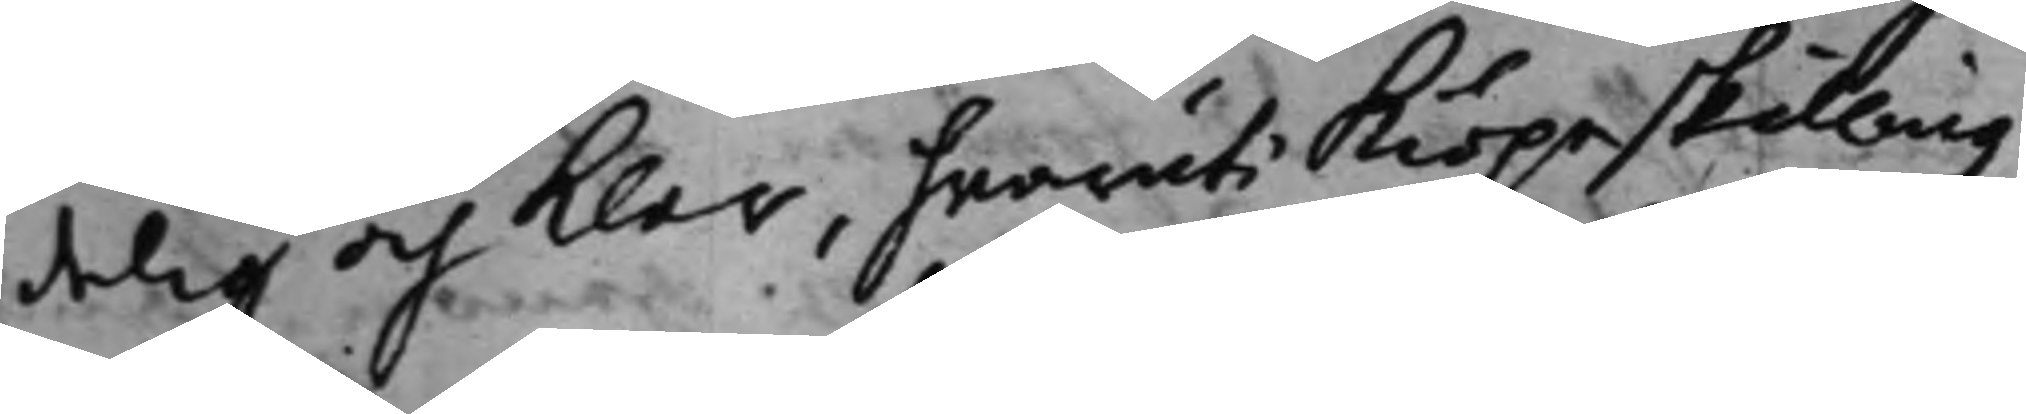delig och klar, hwaruti kiöpeskillingz¬
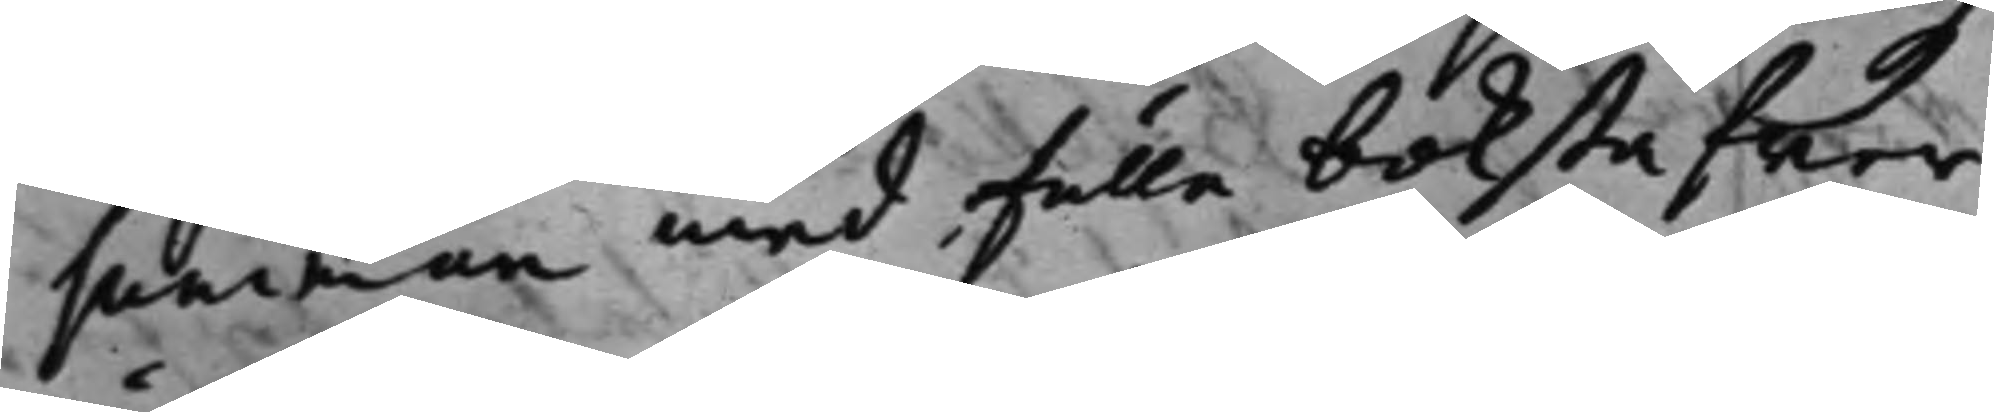summan med fulle bokstafwer
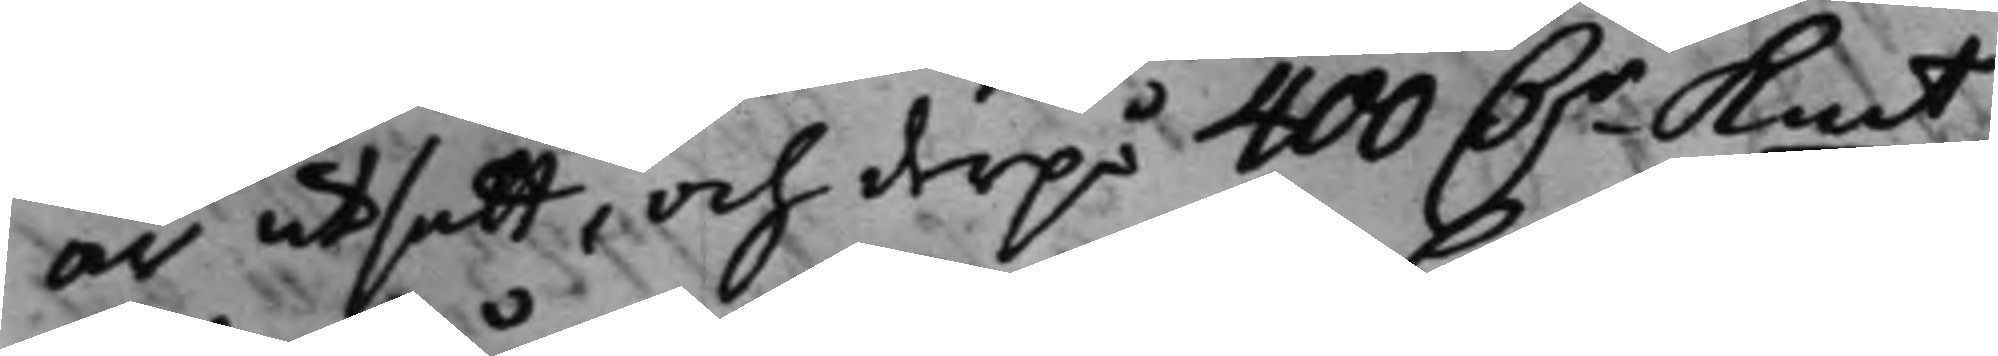är utsatt, och derpå 400 D.r Kmt
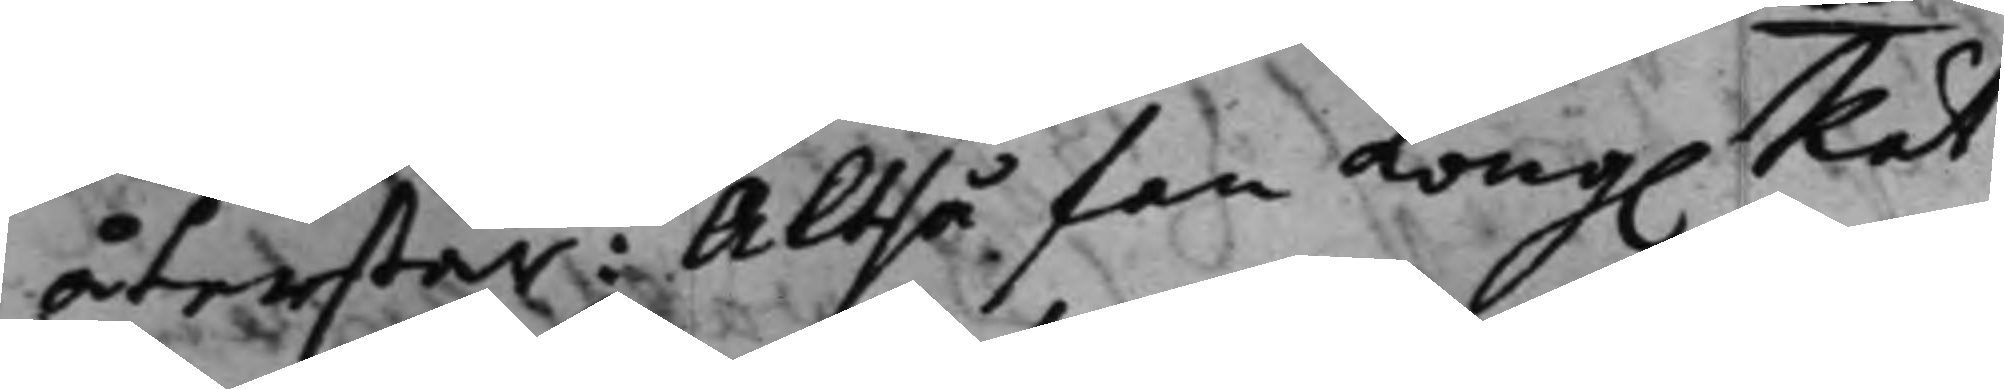återstår: Altså fan Kong. Rät¬
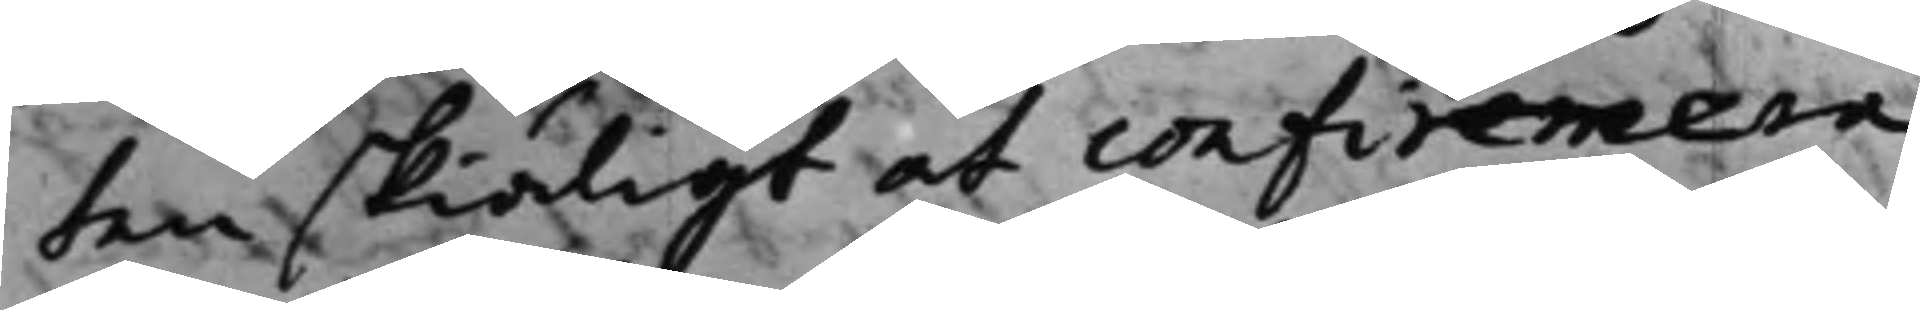ten skiäligt at confirmera
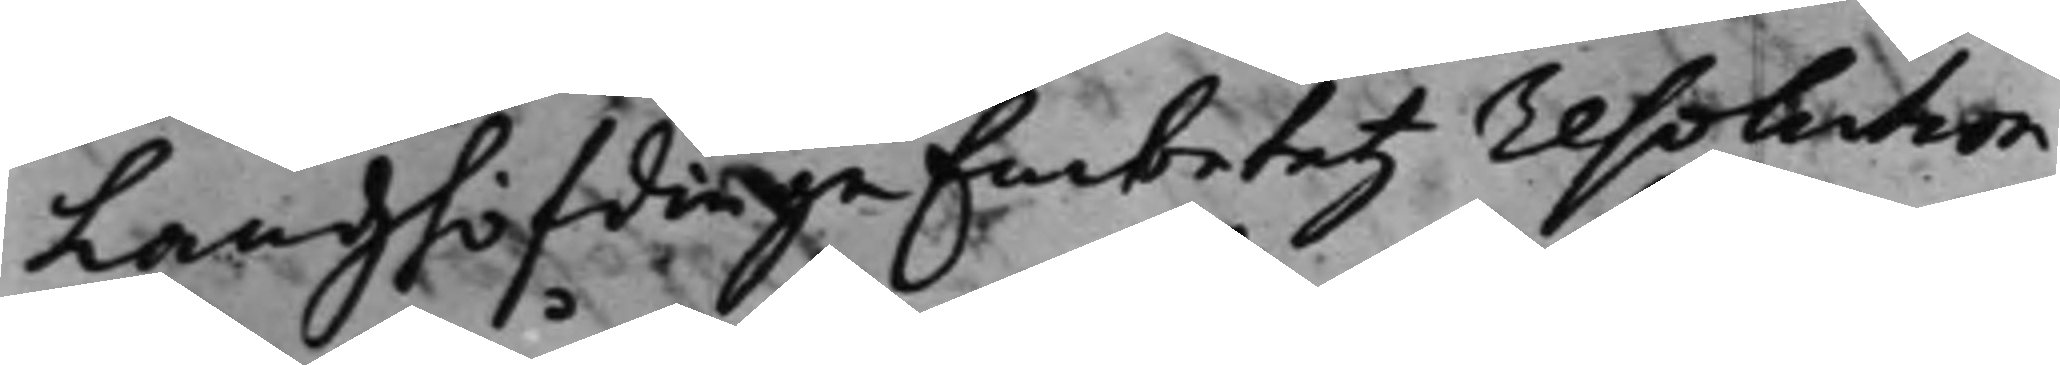Landzhöfdinge Embetetz resolution
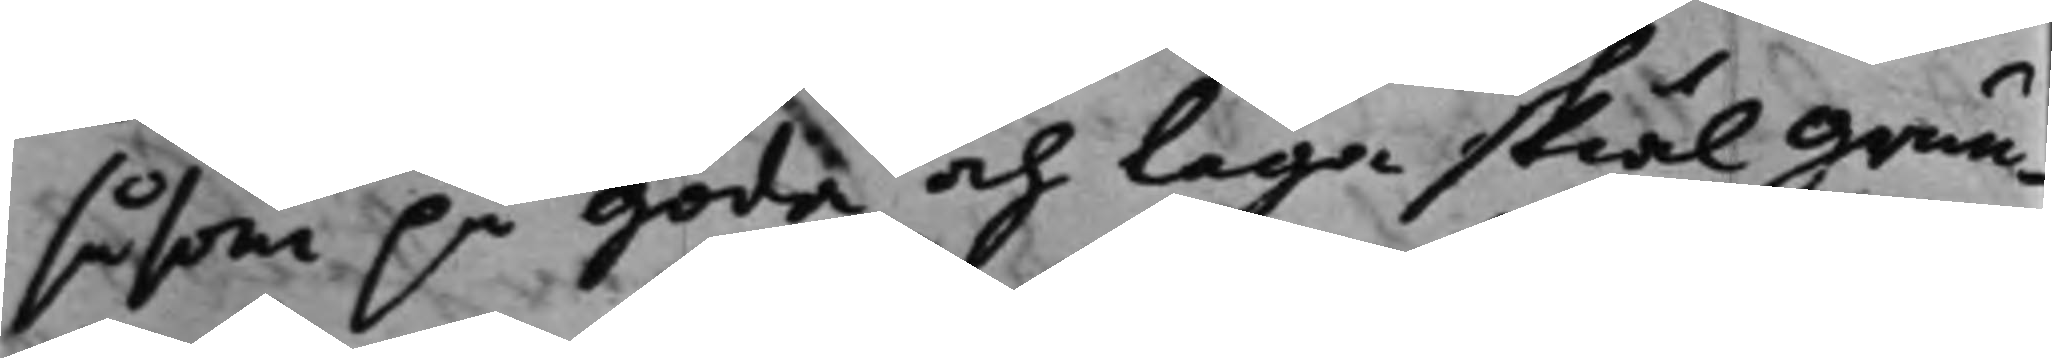såsom på goda och laga skiäl grun¬
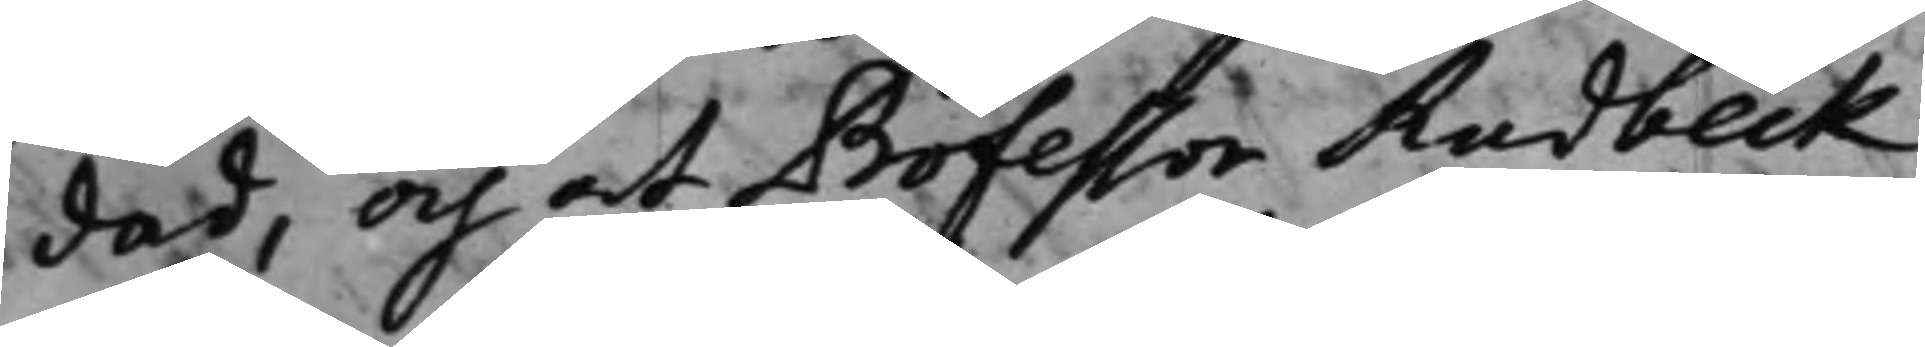dad, och at Professor Rudbeck
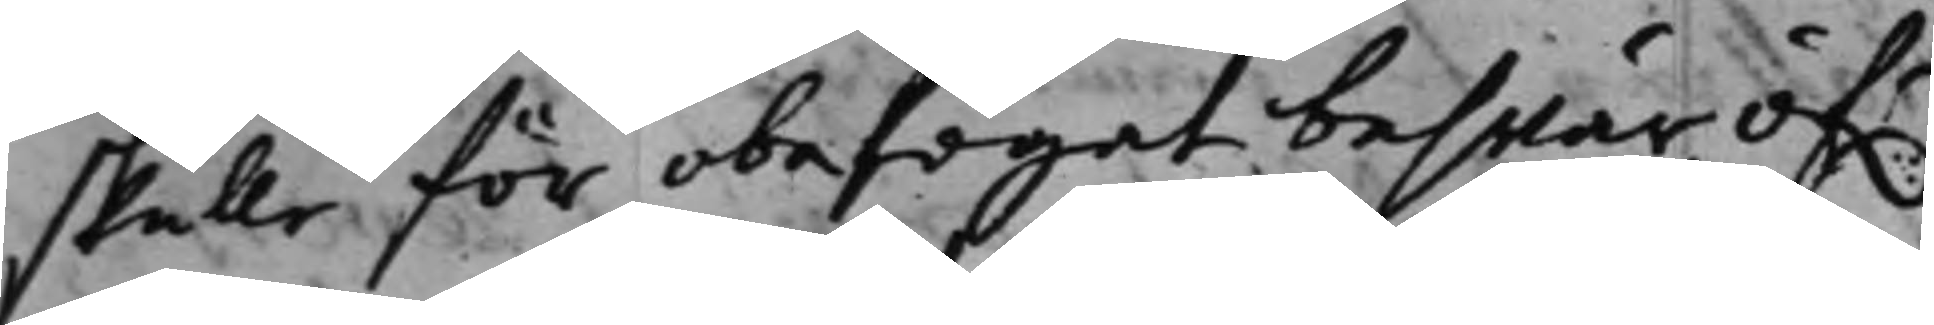skulle för obefogat beswär öf.r
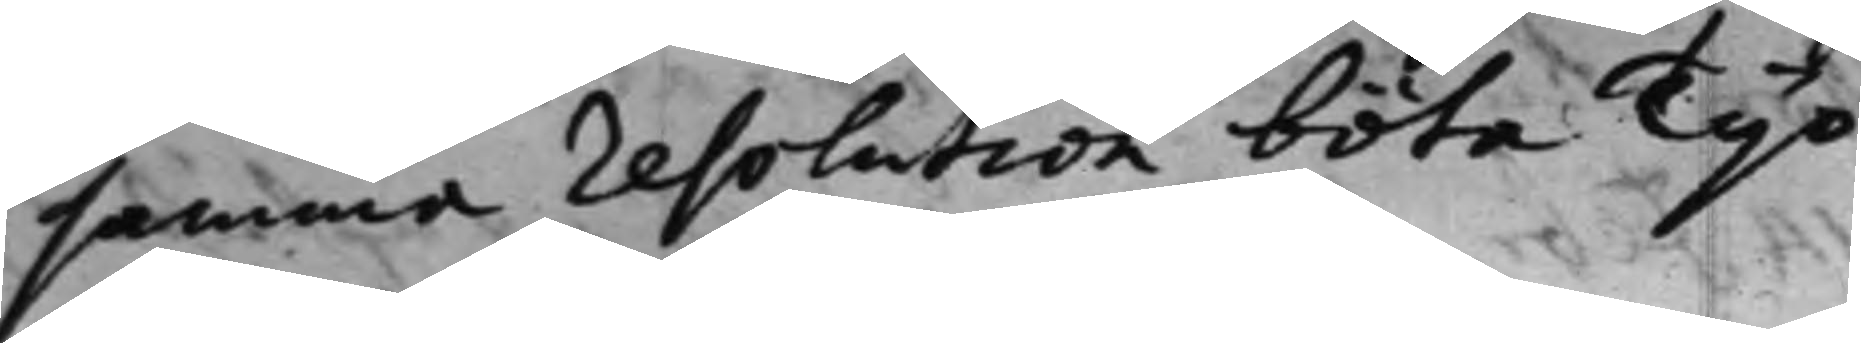samma resolution böta Tijo
